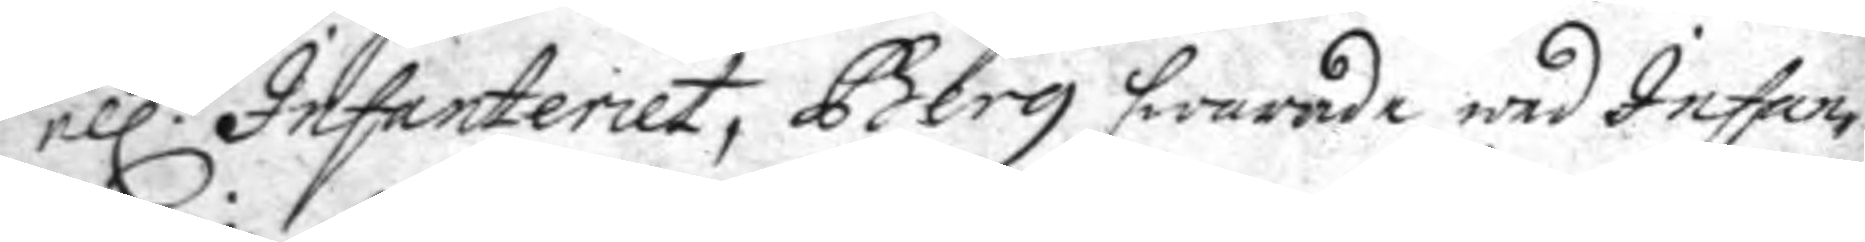ell:r Infanteriet, Berg swarade wed Infan¬
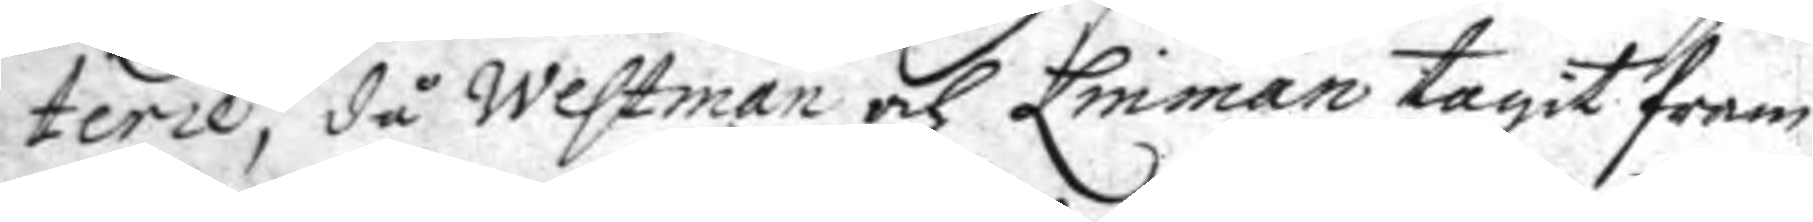terie, då Westman och Linman tagit fram
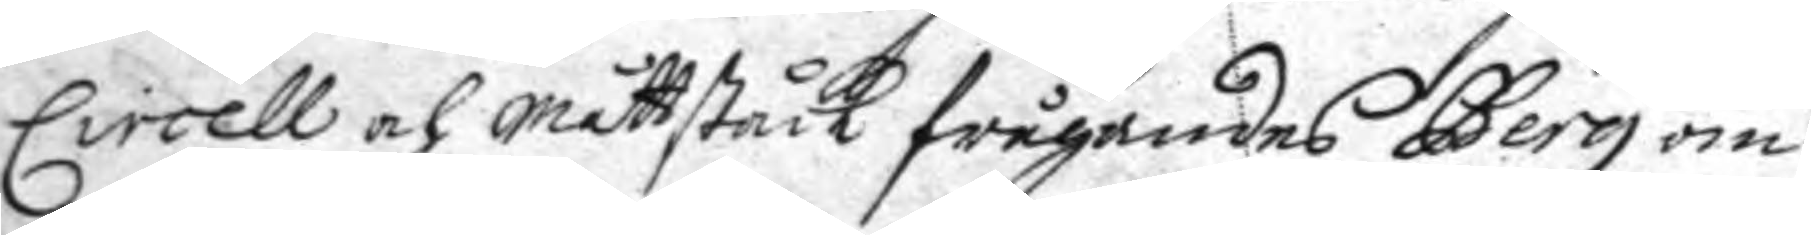Circell och måttståck frågandes Berg om
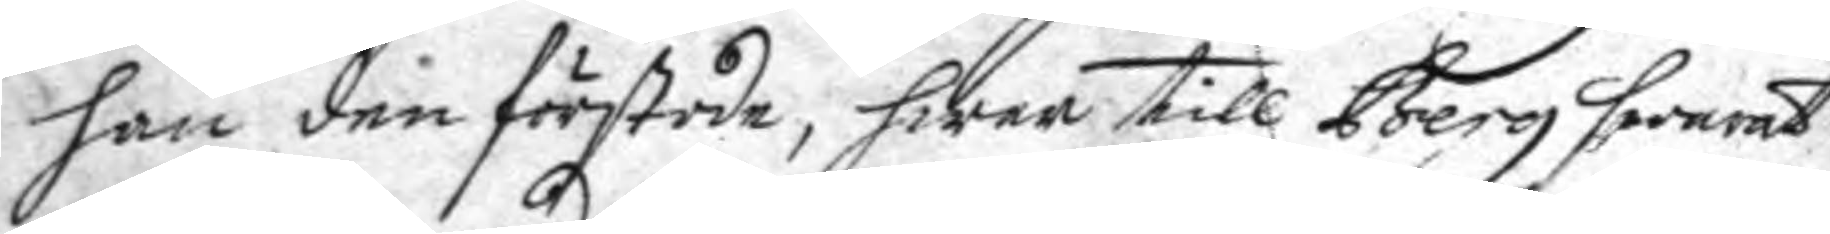han den förstode, hwar till Berg swarat
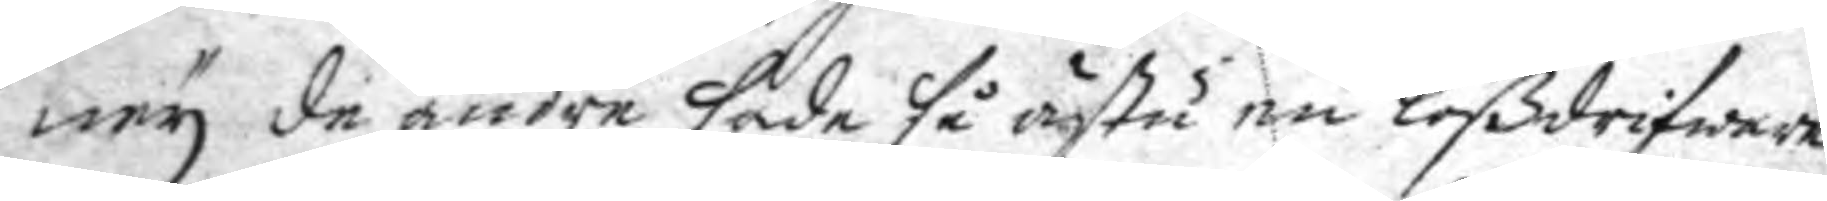ney de andre sade så ästu en lößdrifware
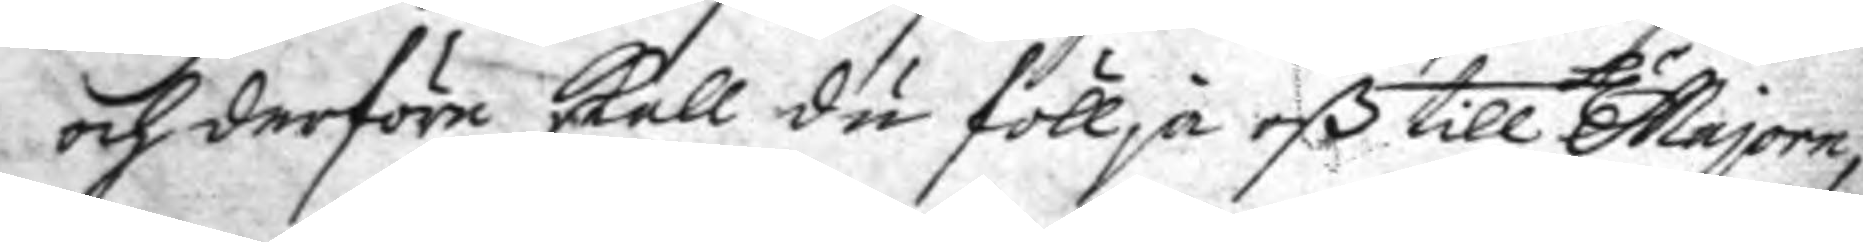och derföre skall du föllja oß till h.r Majoren,
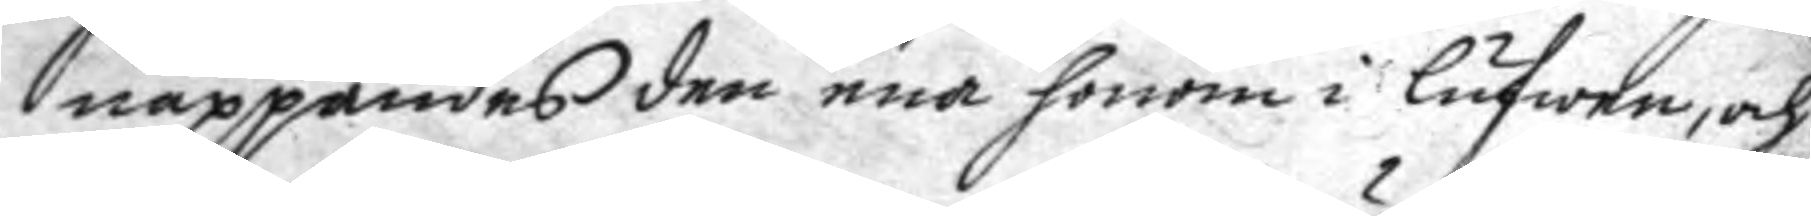nappandes den ena honom i lufwan, och
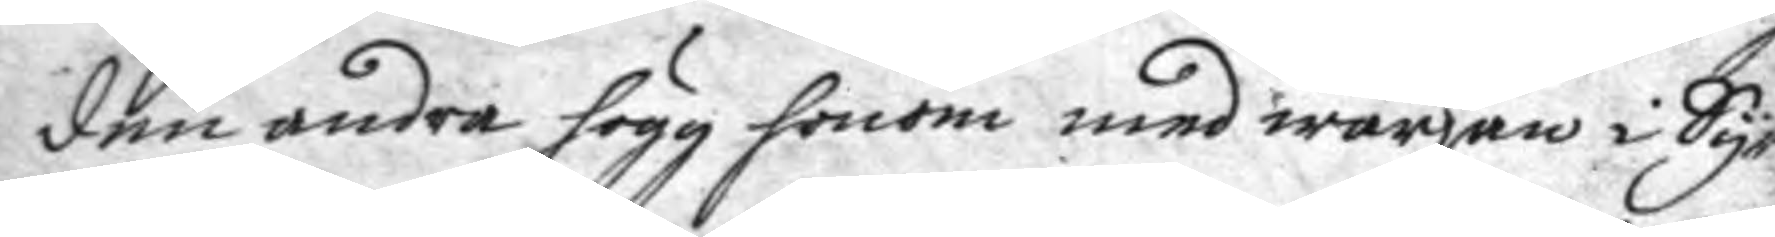den andra högg honom med wärjan i Sy¬
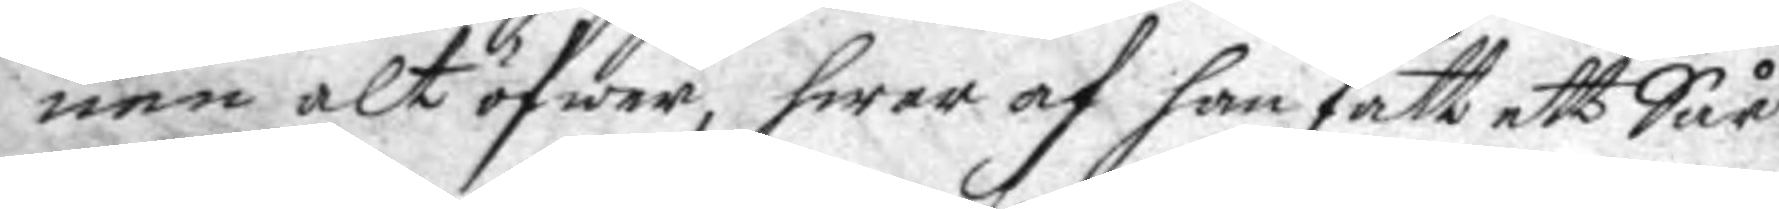nen alt öfwer, hwar af han fått ett Sår
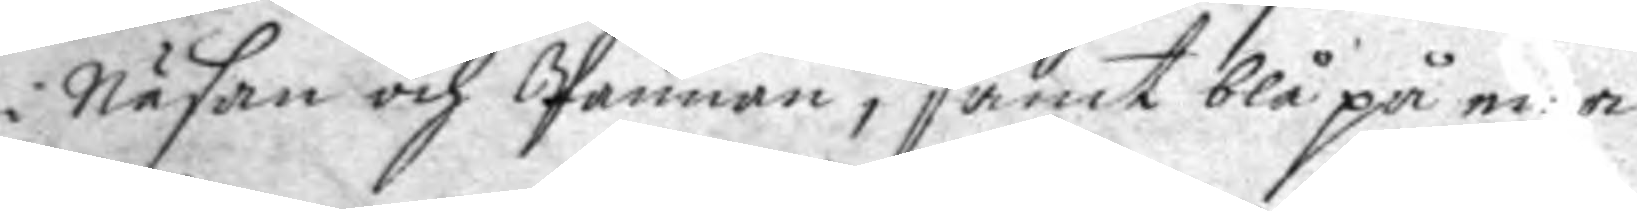i Näsan och Pannan, samt blå på ena
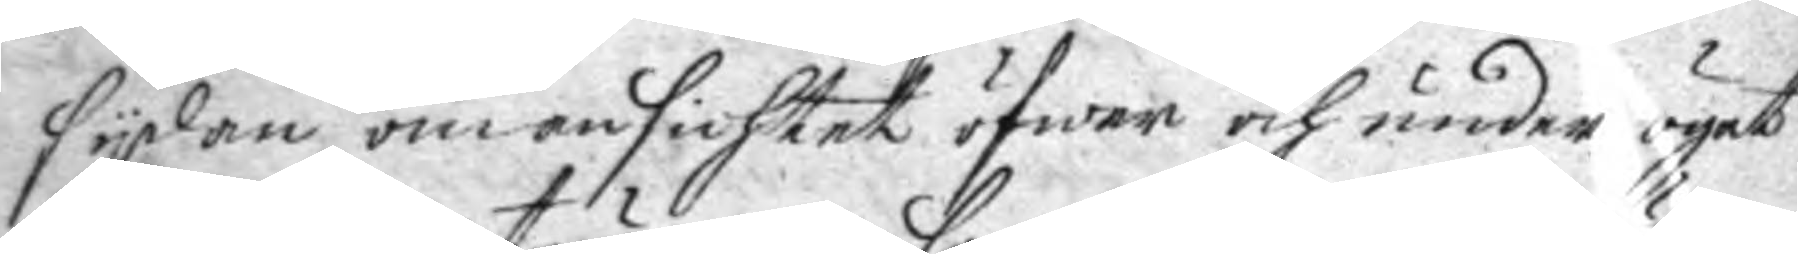sydan om ansichtet öfwer och under ögat
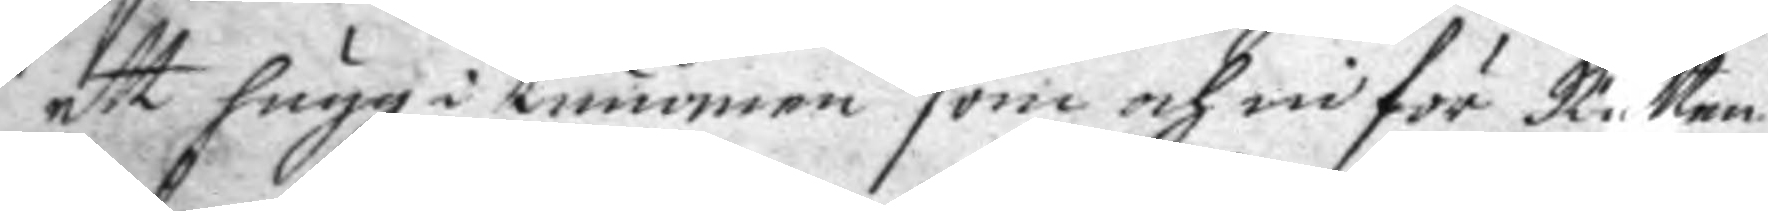ett hugg i tummen som och nu för Rätten
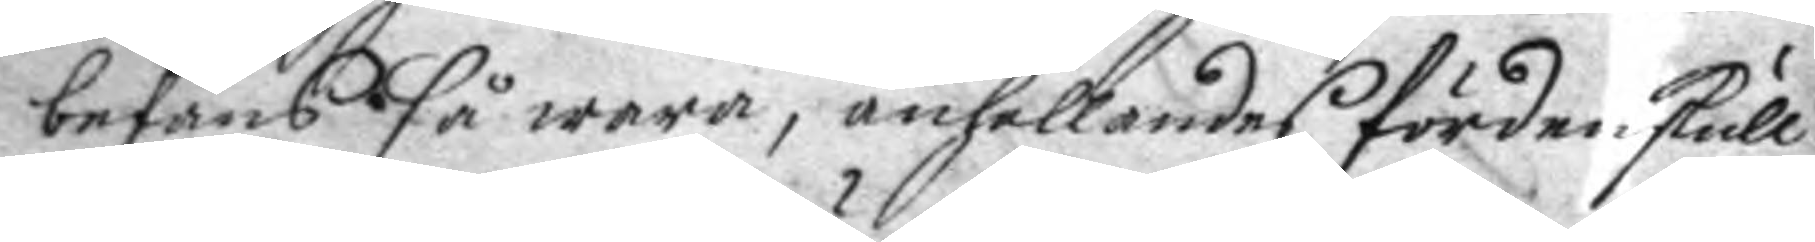befans så wara, anhållandes förden skull
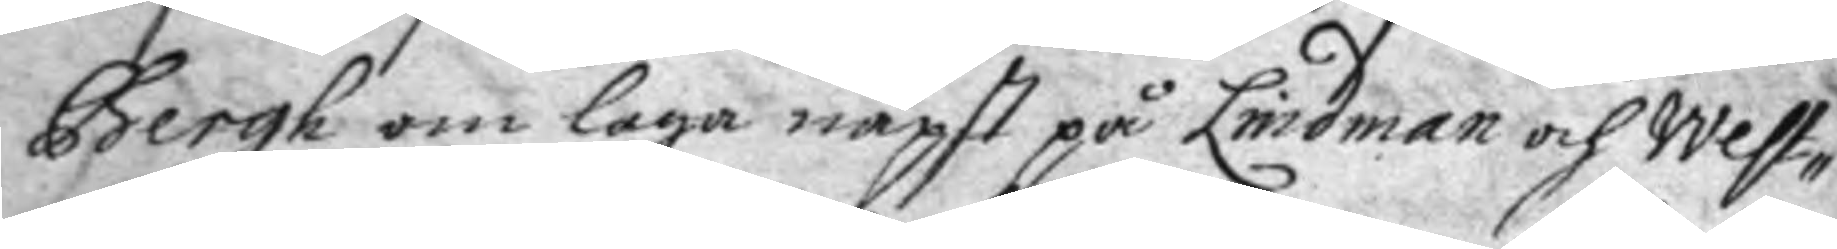Bergh om laga näpst på Lindman och West¬
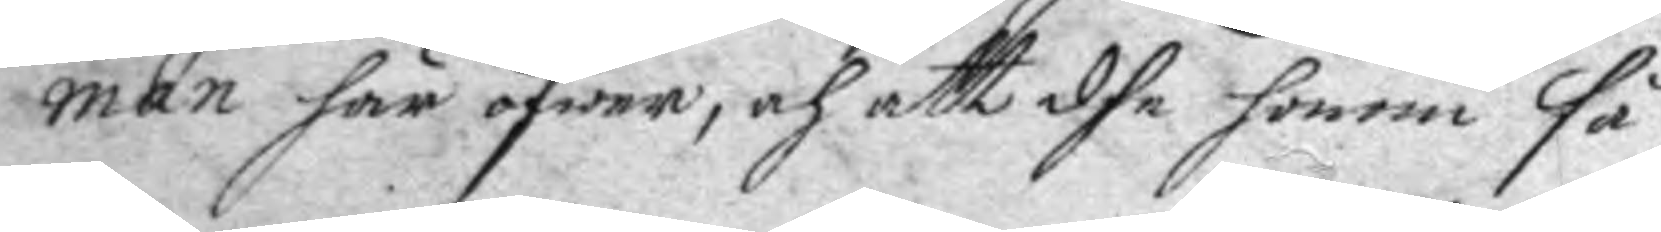man här öfwer, och att dhe honom så
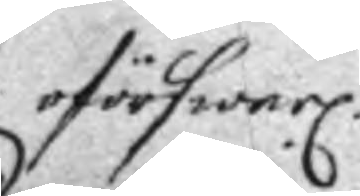oförswarl.
